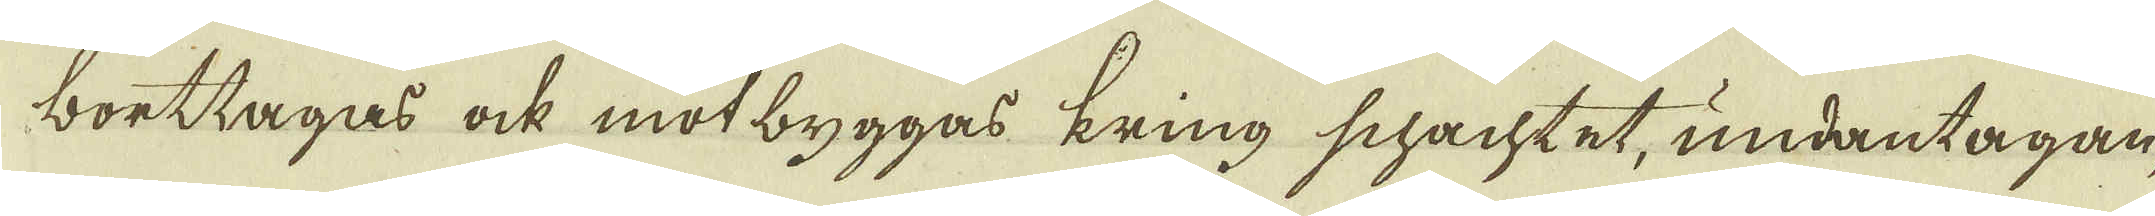borttagas ock motbyggas kring schachtet, undantagan-
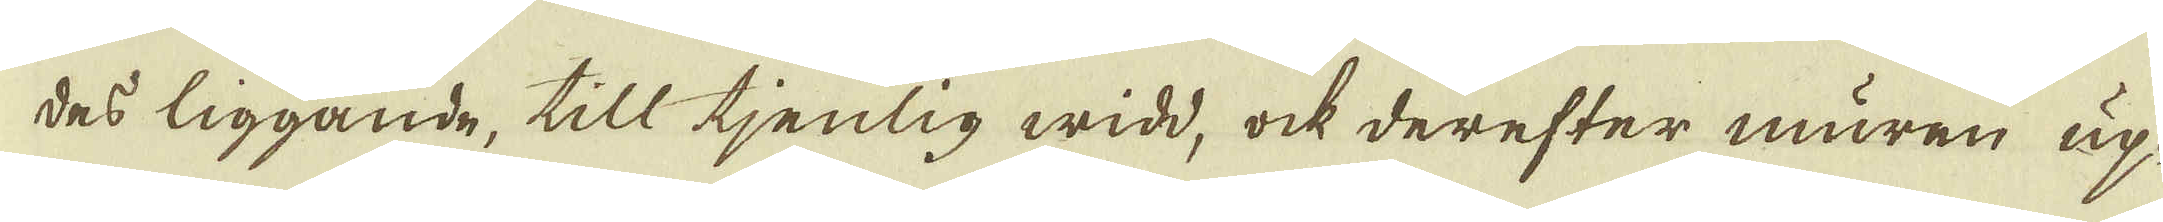des liggande, till tjenlig widd, ock derefter muren up-
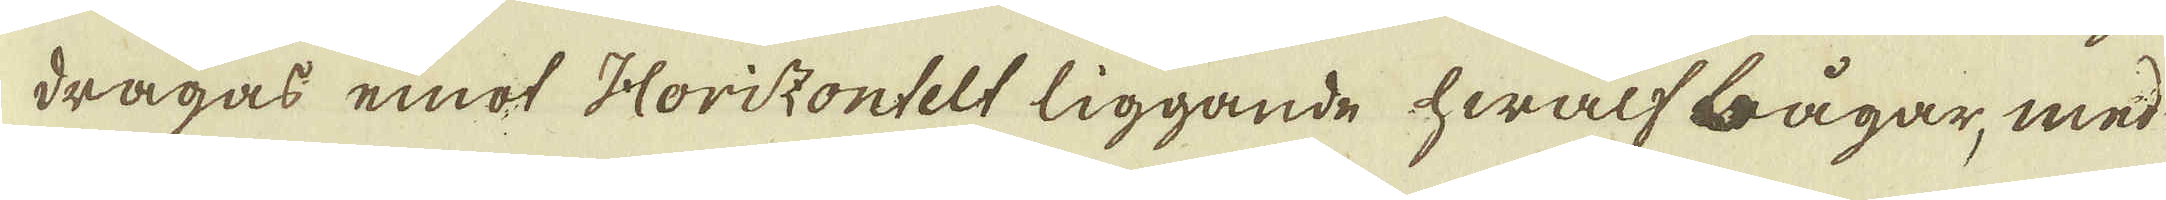dragas emot Horizontelt liggande hwalf bågar, med
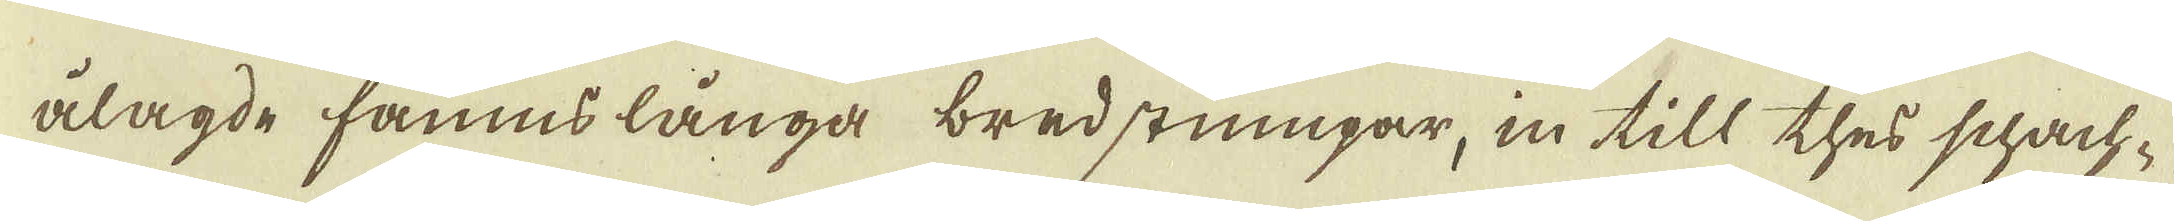ålagde famns långa bredstumpar, in till thes schach-
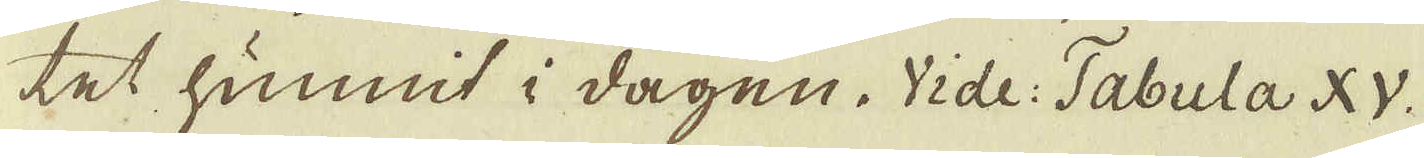tet hunnit i dagen. Vide: Tabula XV.
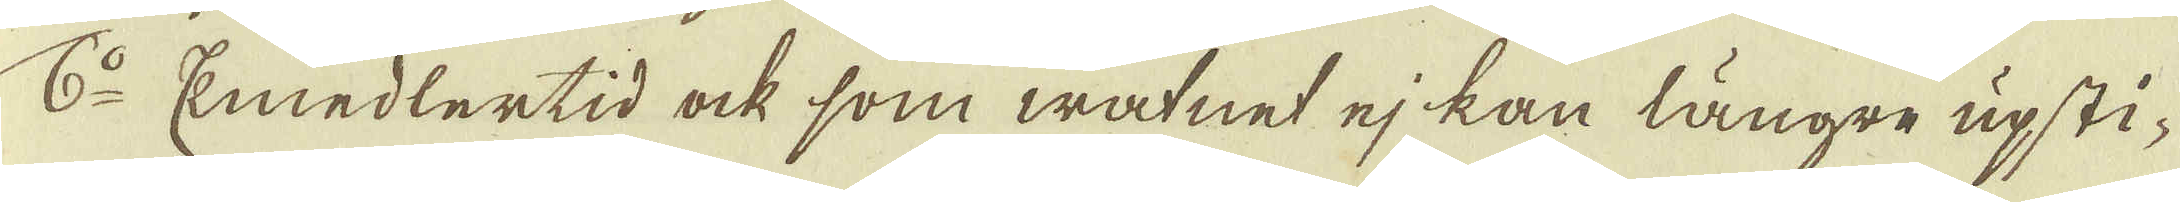6:o Emedlertid ock som watnet ej kan längre upsti-
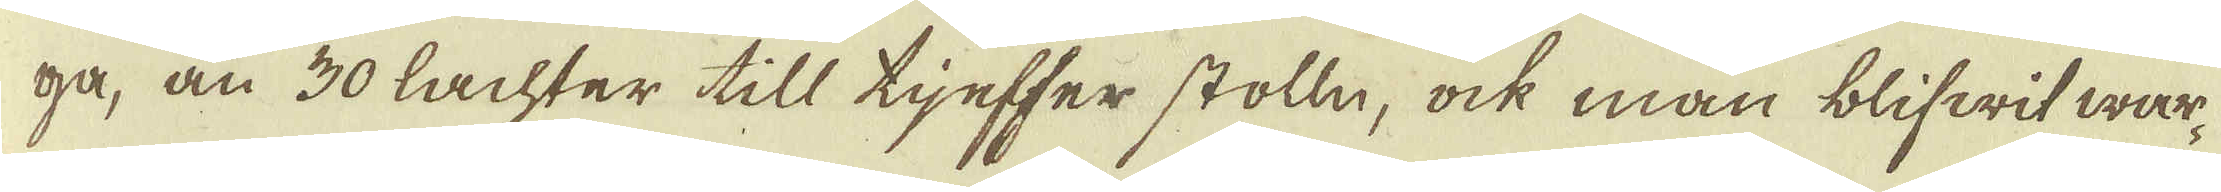ga, än 30 lachter till tjefser stolln, ock man blifwit war-
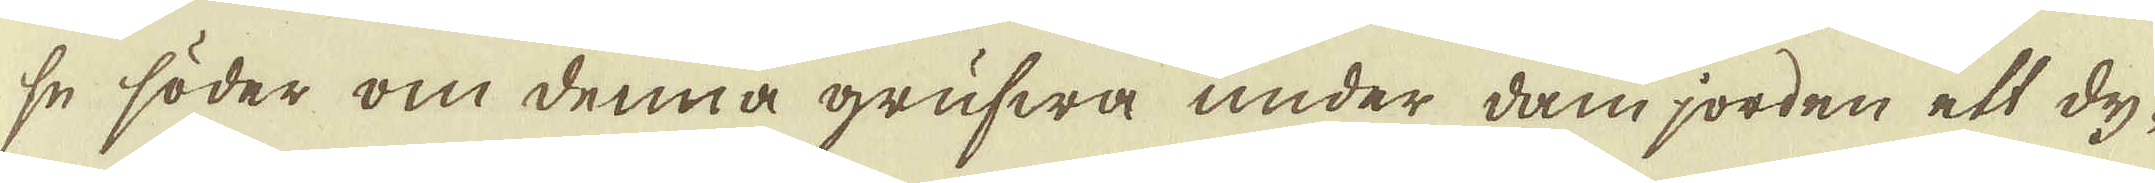se söder om denna grufwa under dam jorden ett dy-
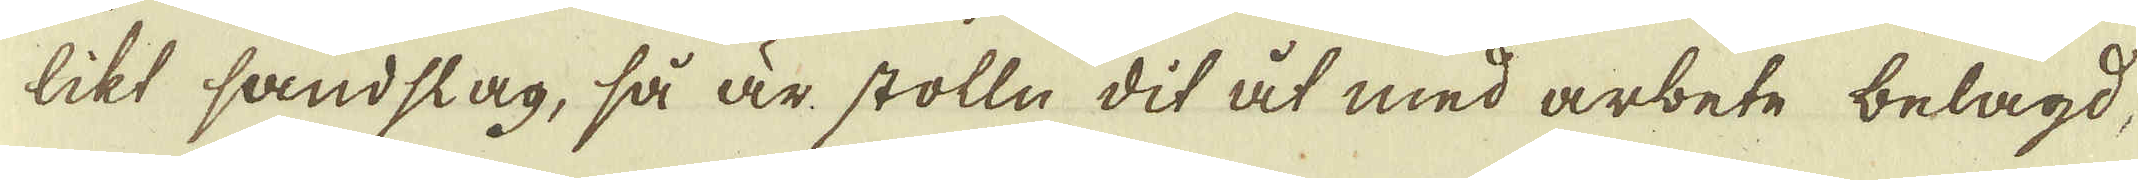likt sandslag, så är stolln dit åt med arbete belagd,
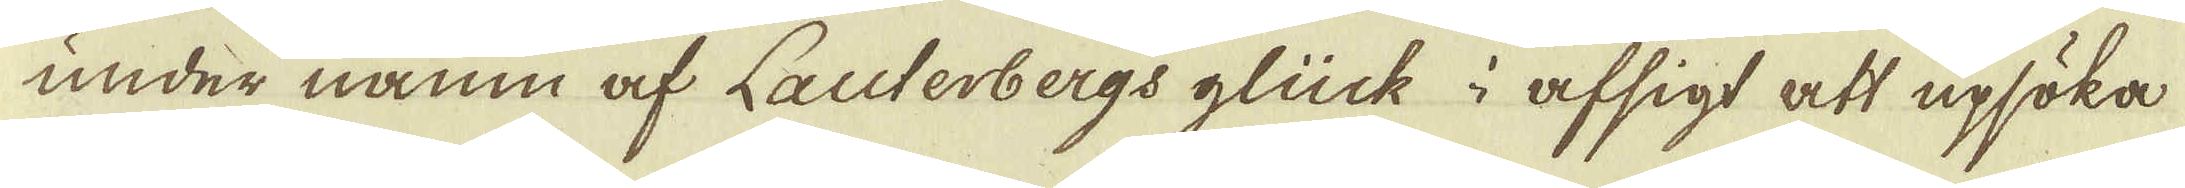under namn af Lauterbergs glück i afsigt att upsöka
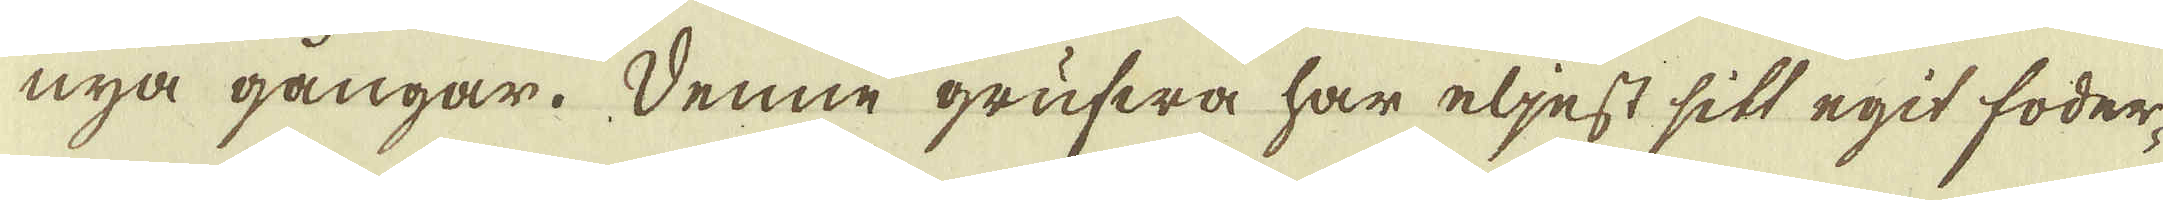nya gångar. Denne grufwa har eljest sitt egit foder-
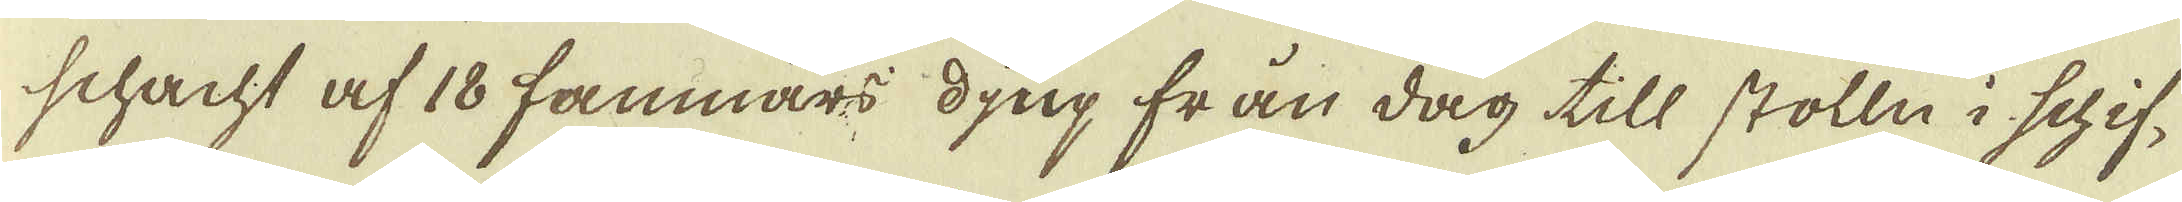schacht af 18 famnars djup från dag till stolln i schif-
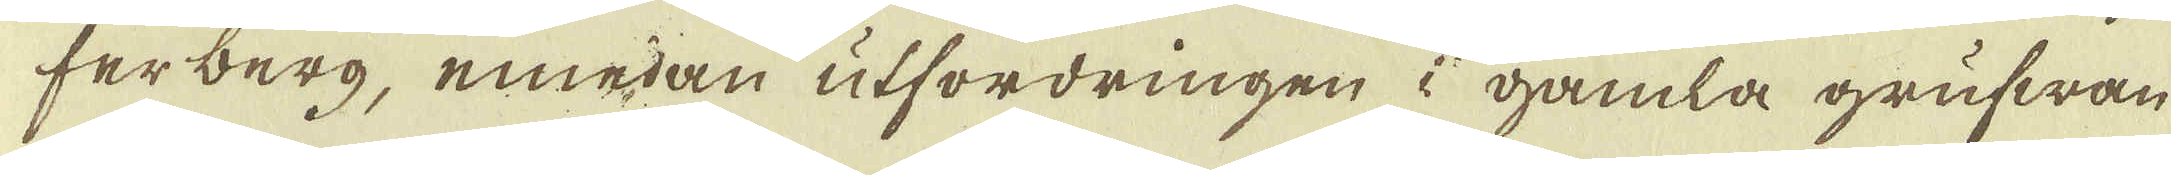ferberg, emedan utfordringen i gamla grufwan
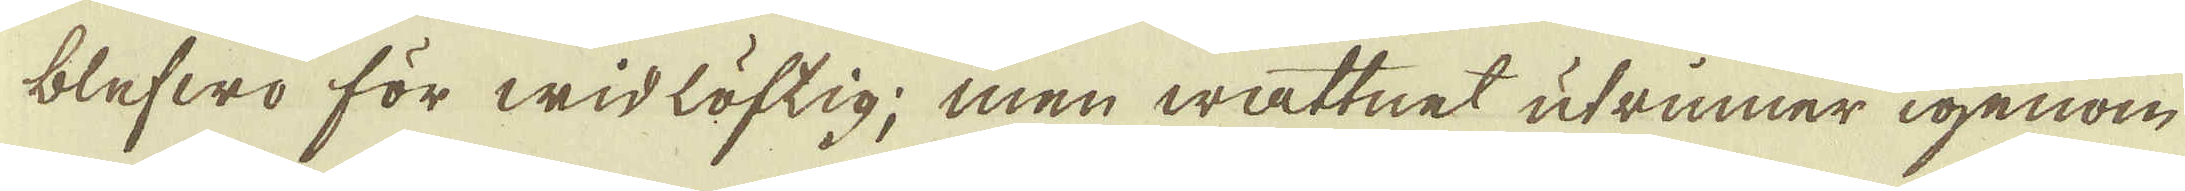blefwo för widlöftig; men wattnet utrinner igenom
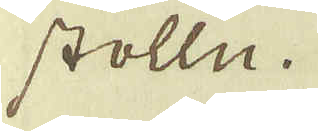stolln.
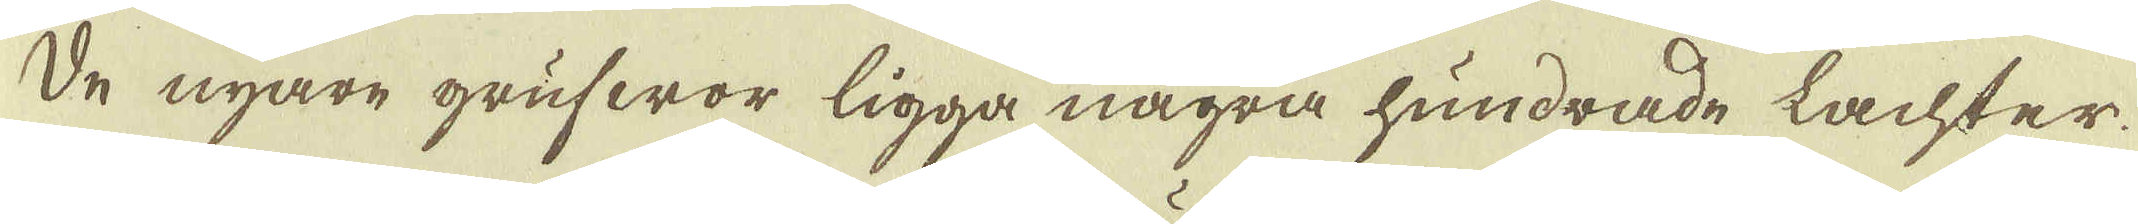De nyare grufwor ligga några hundrade lachter
